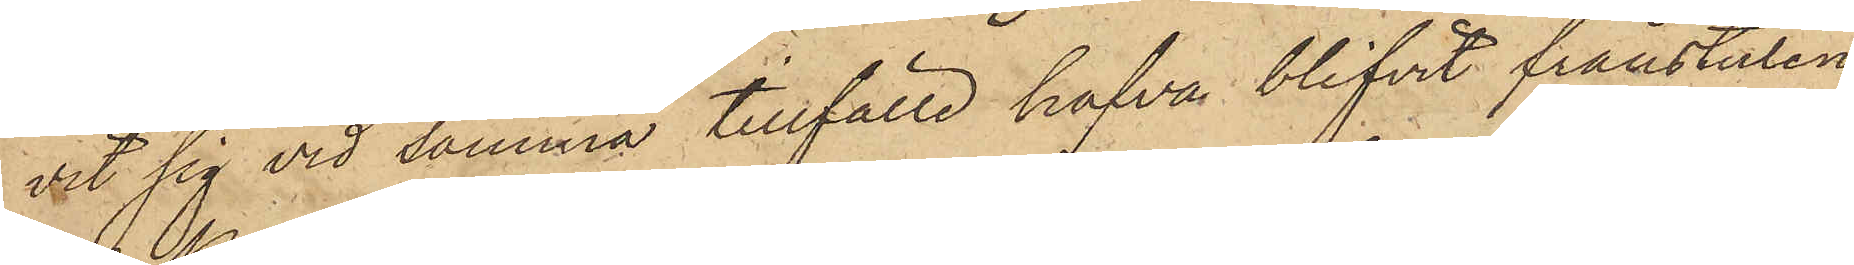vit sig vid samma tillfälle hafva blifvit frånstulen
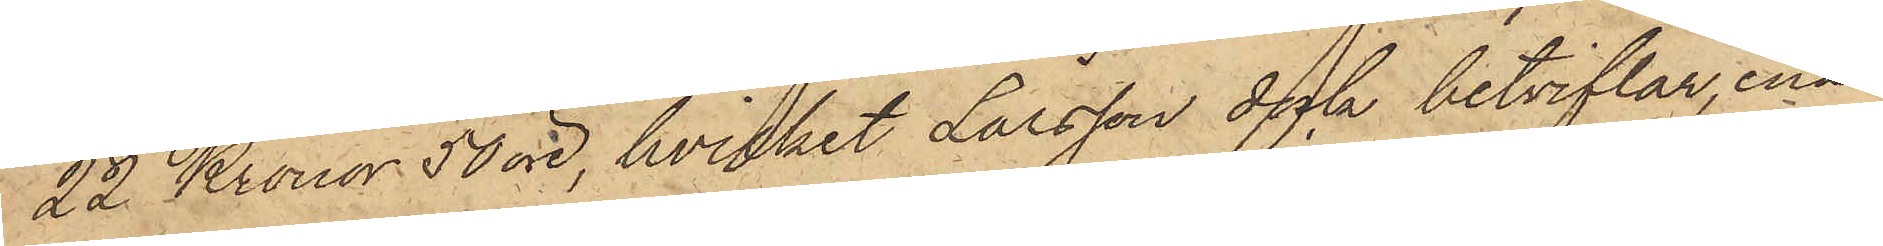22 Kronor 50 öre, hvilket Larsson dock betviflar, enär
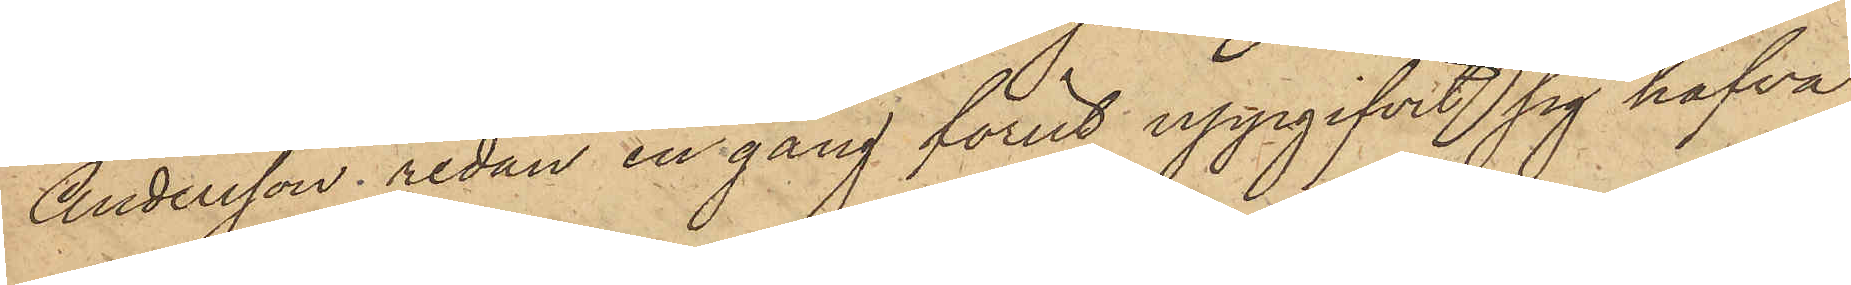Andersson redan en gång förut uppgifvit sig hafva
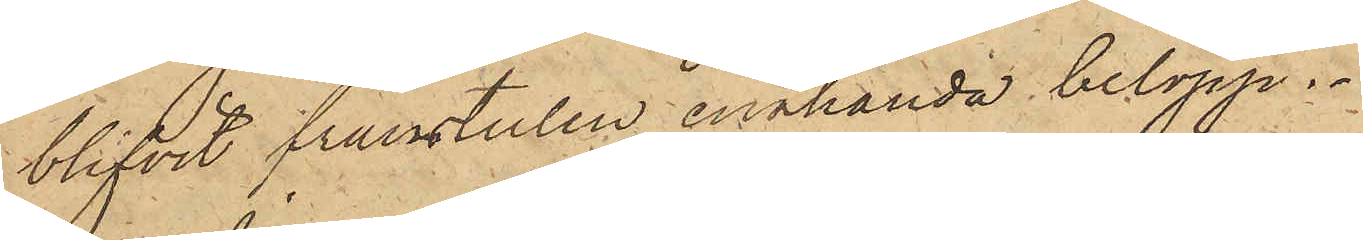blifvit frånstulen enahanda belopp.
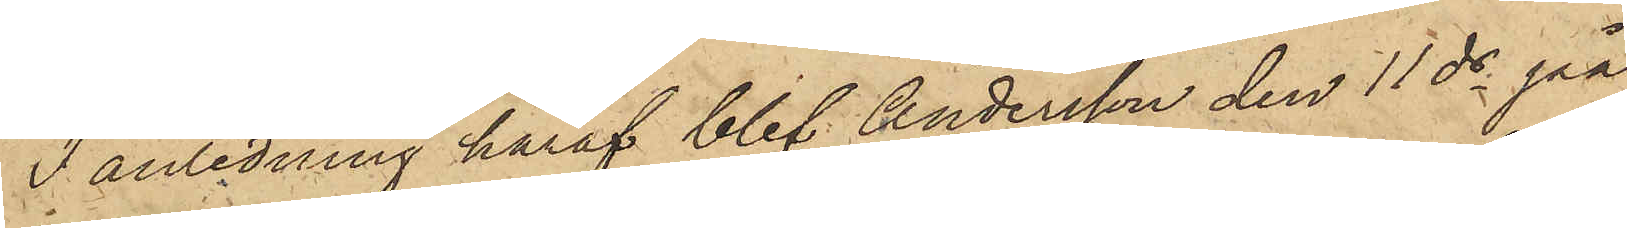I anledning häraf blef Andersson den 11 ds på
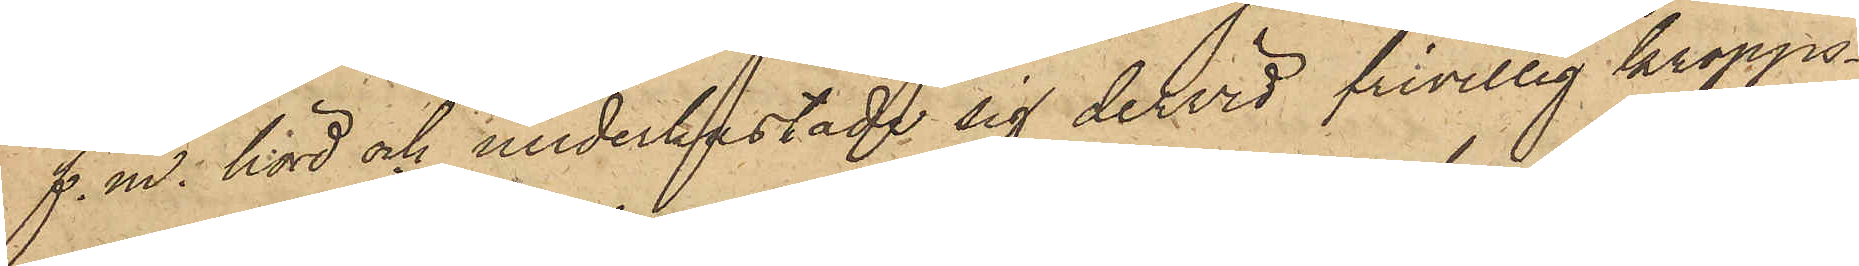f. m. hörd och underkastade sig dervid frivillig kropps¬
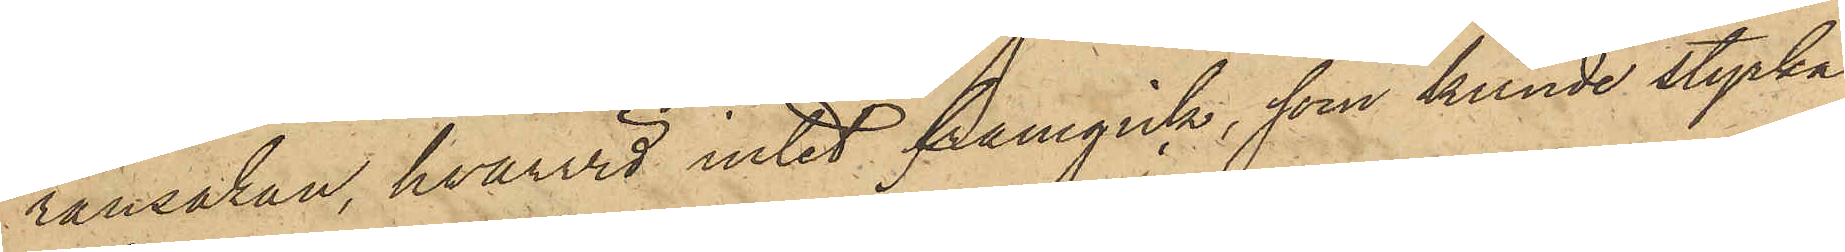ransakan, hvarvid intet framgick, som kunde styrka
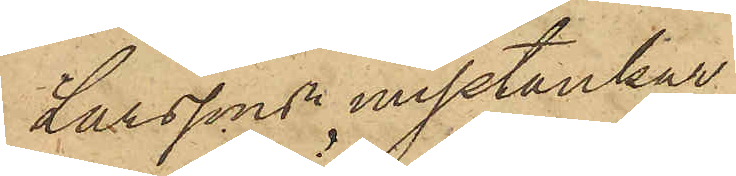Larssons misstankar
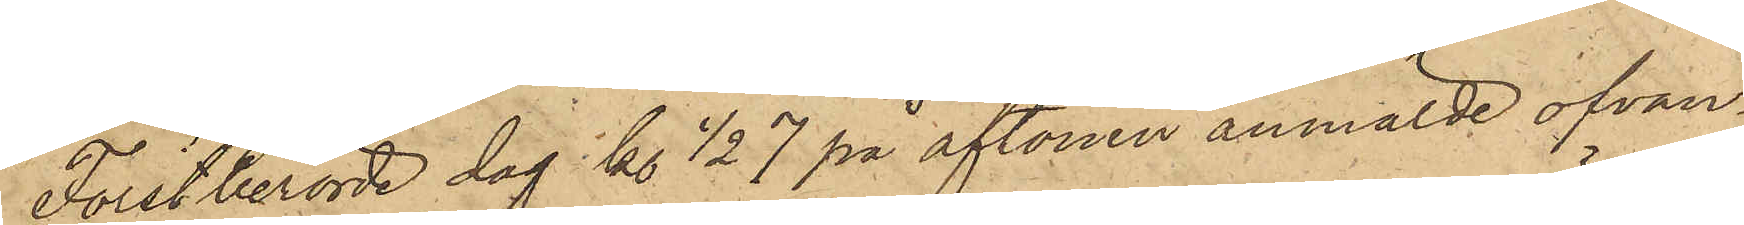Förstberörde dag kl ½ 7 på aftonen anmälde ofvan¬
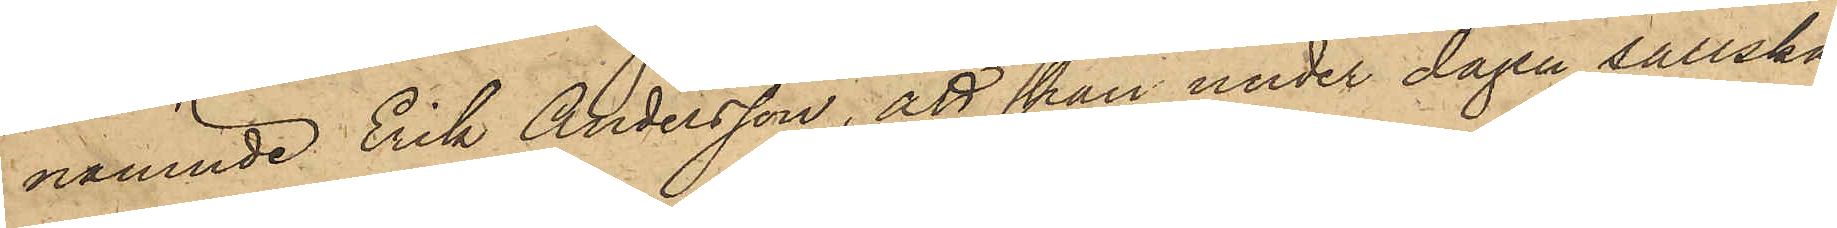nämnde Erik Andersson, att han under dagen sällska¬
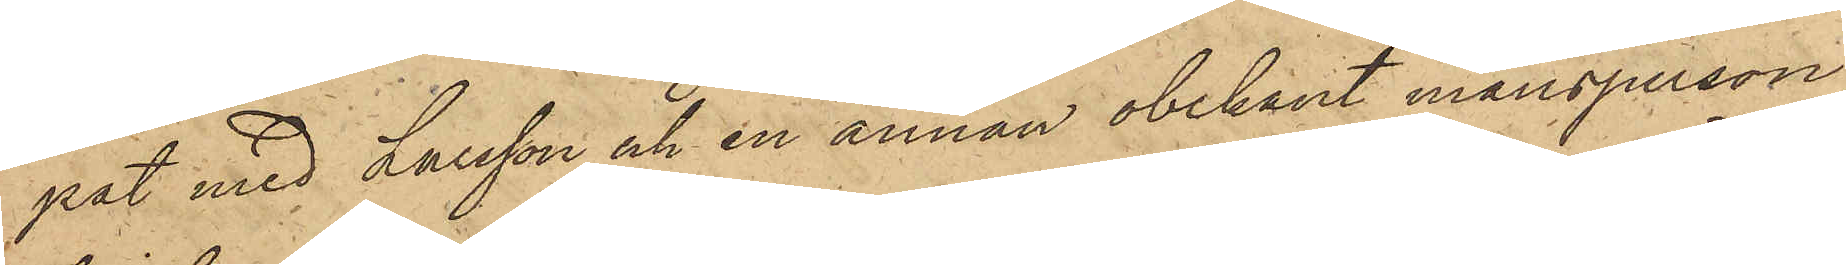pat med Larsson och en annan obekant mansperson,
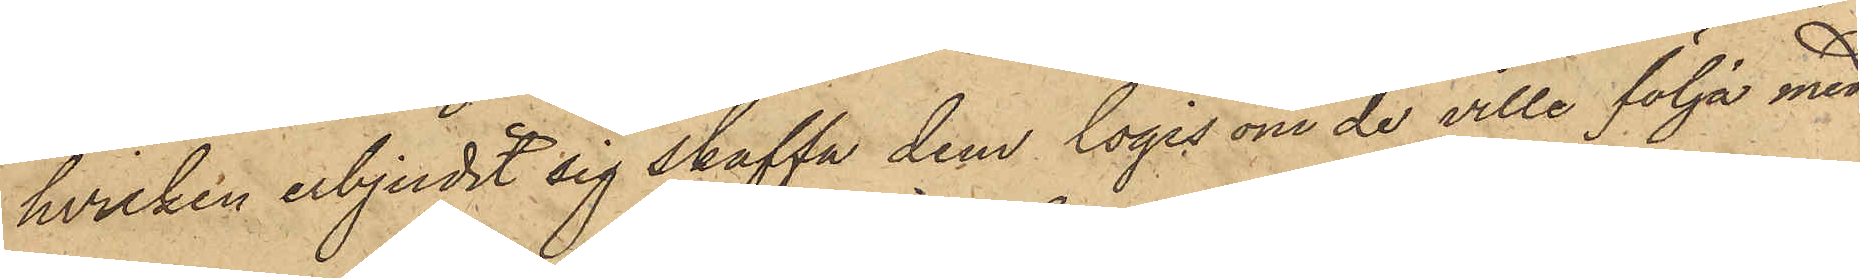hvilken erbjudit sig skaffa dem logis om de ville följa med
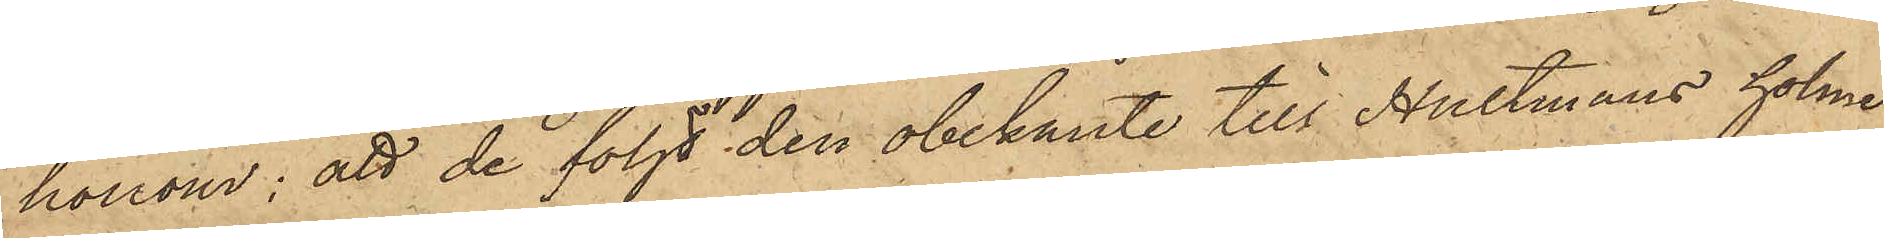honom; att de följt den obekante till Hultmans holme
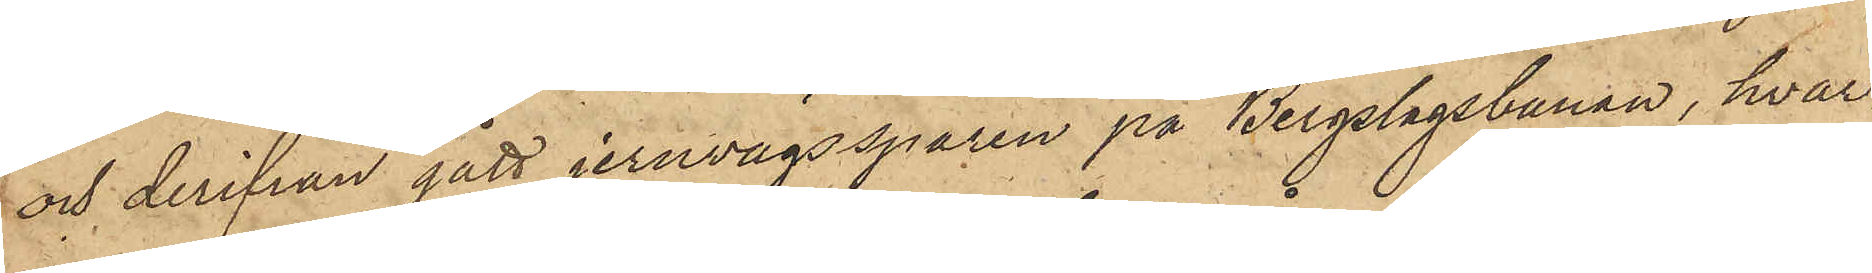och derifrån gått jernvägsspåren på Bergslagsbanan, hvar¬
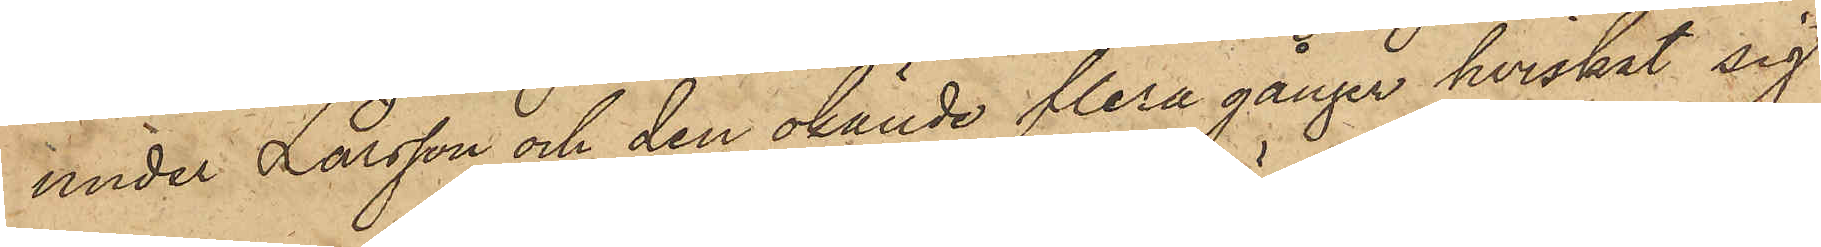under Larsson och den okände flera gånger hviskat sig
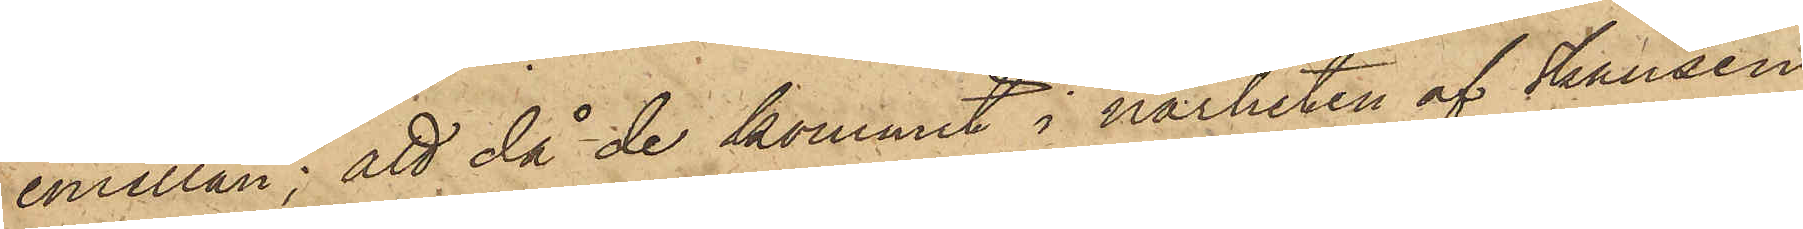emellan; att då de kommit i närheten af Skansen
